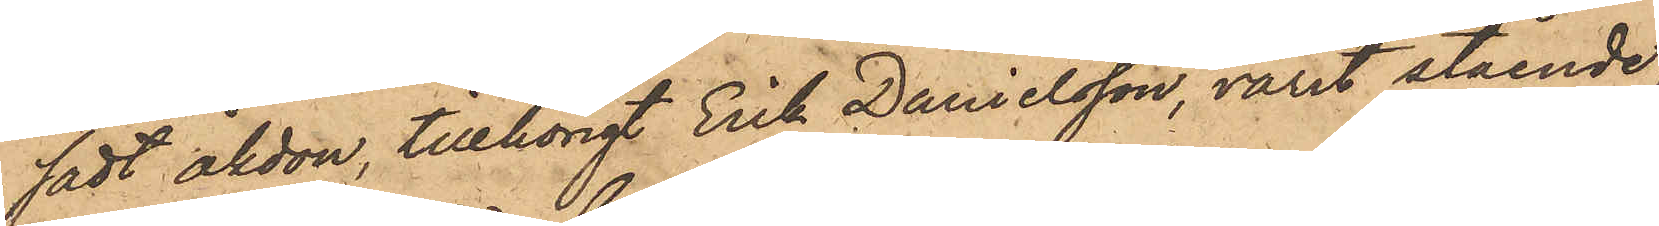sadt åkdon, tillhörigt Erik Danielsson, varit stående,
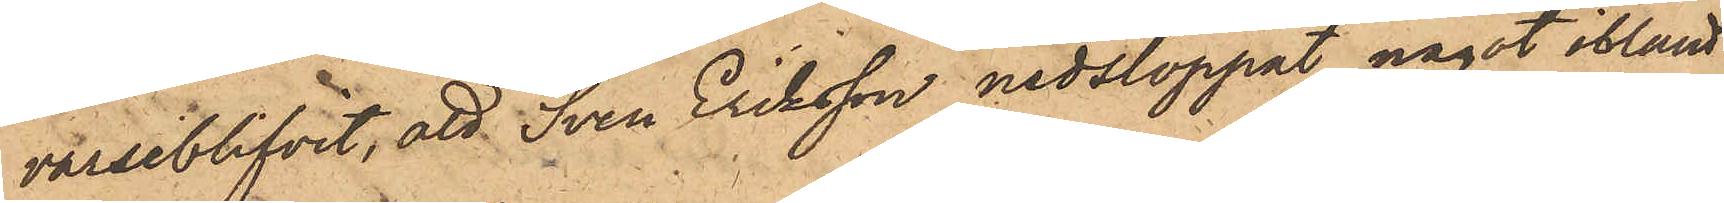varseblifvit, att Sven Eriksson nedstoppat något ibland
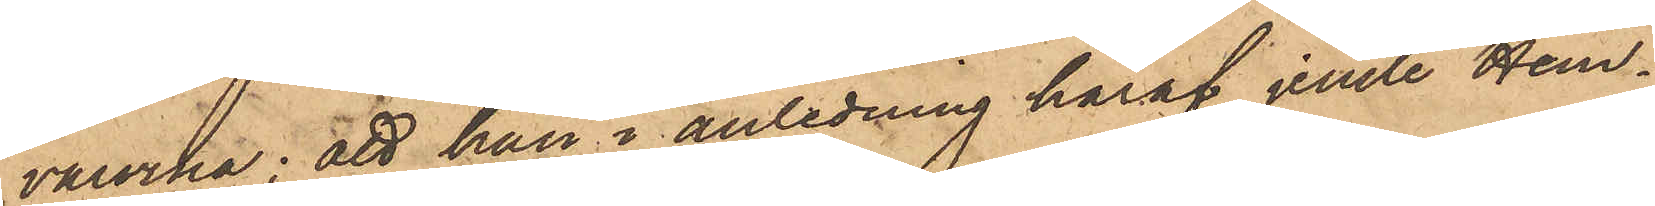varorna; att han i anledning häraf jemte Hem¬
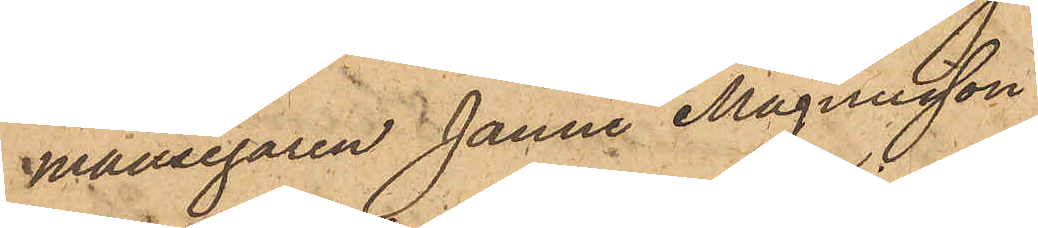mansegaren Janne Magnusson
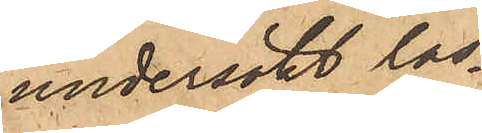undersökt las¬
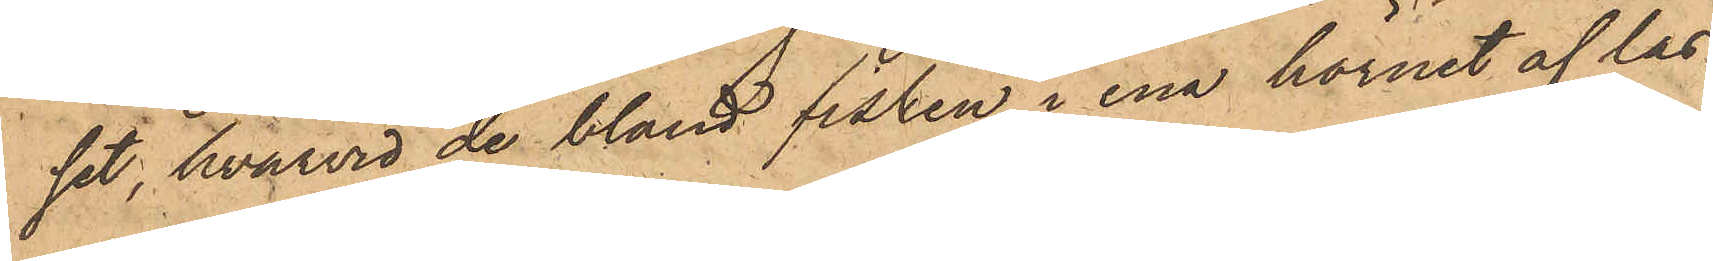set, hvarvid de bland fisken i ena hörnet af las¬
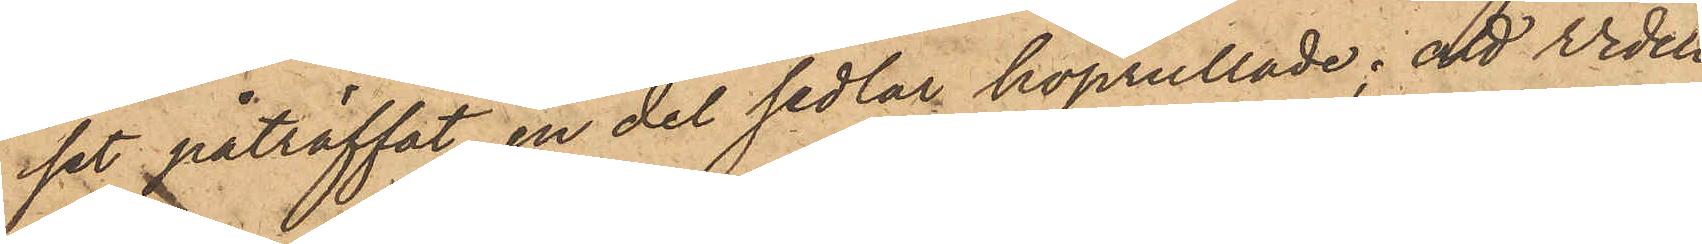set påträffat en del sedlar hoprullade; att Widell
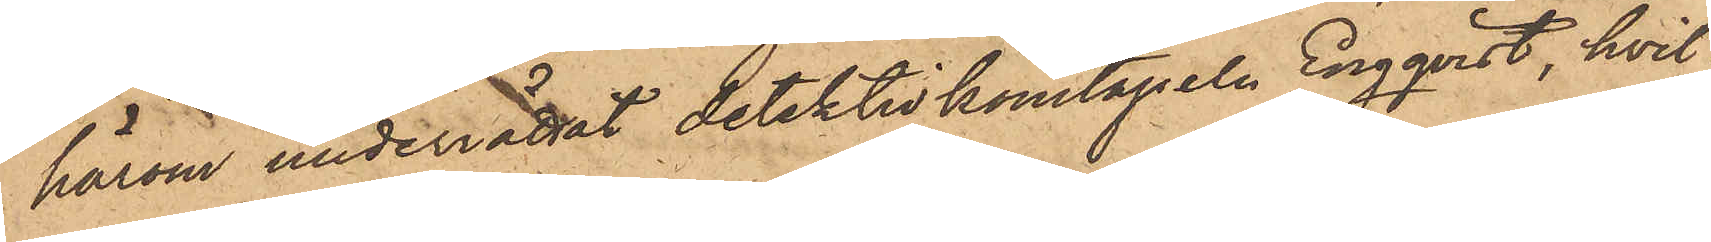härom underrättat detektivkonstapeln Engqvist, hvil¬
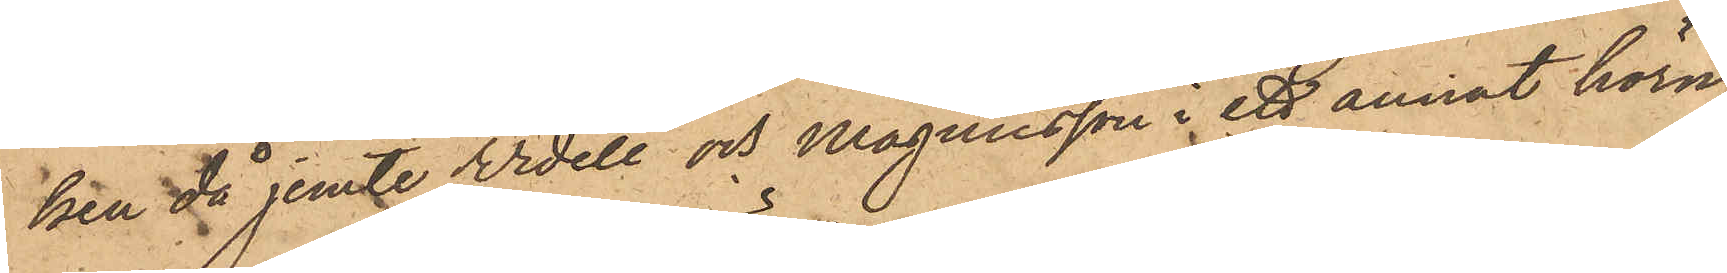ken då jemte Widell och Magnusson i ett annat hörn
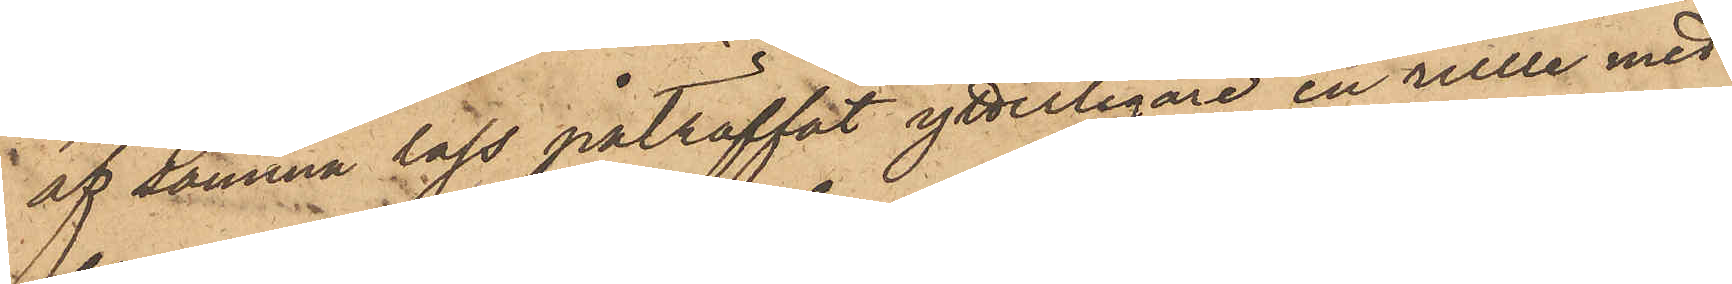af samma lass påträffat ytterligare en rulle med
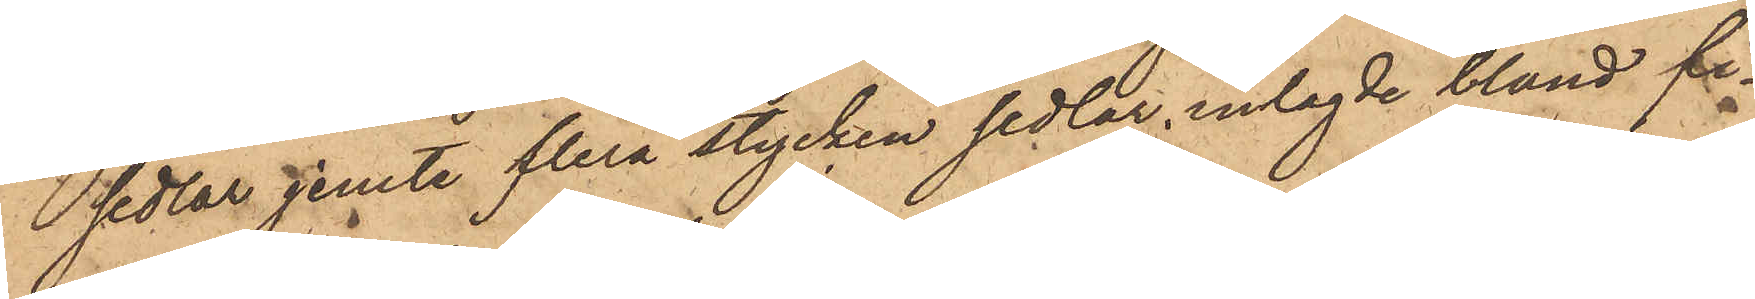sedlar jemte flera stycken sedlar inlagde bland fi¬
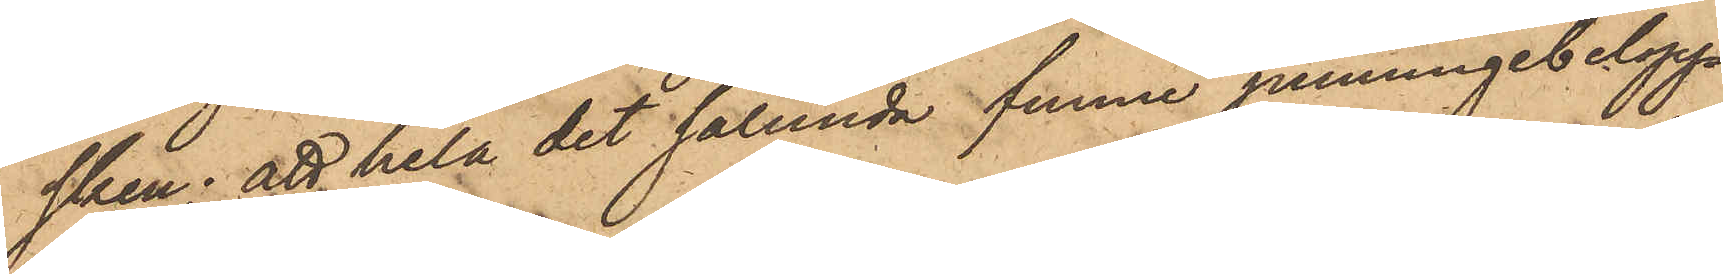sken; att hela det sålunda funne penningebelopp
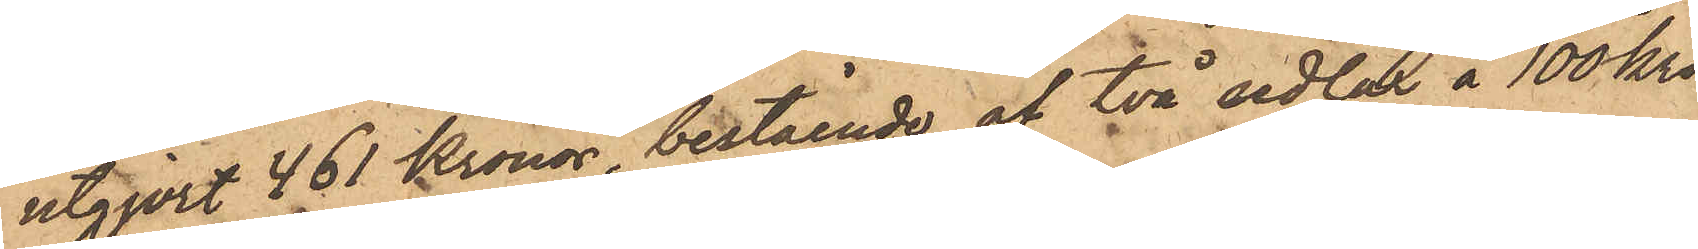utgjort 461 Kronor bestående af två sedlar å 100 kro¬
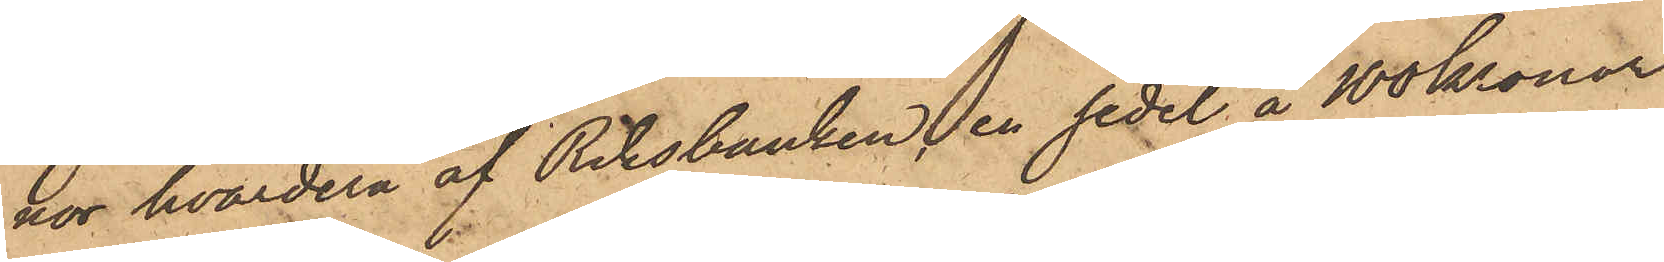nor hvardera af Riksbanken, en sedel å 100 kronor
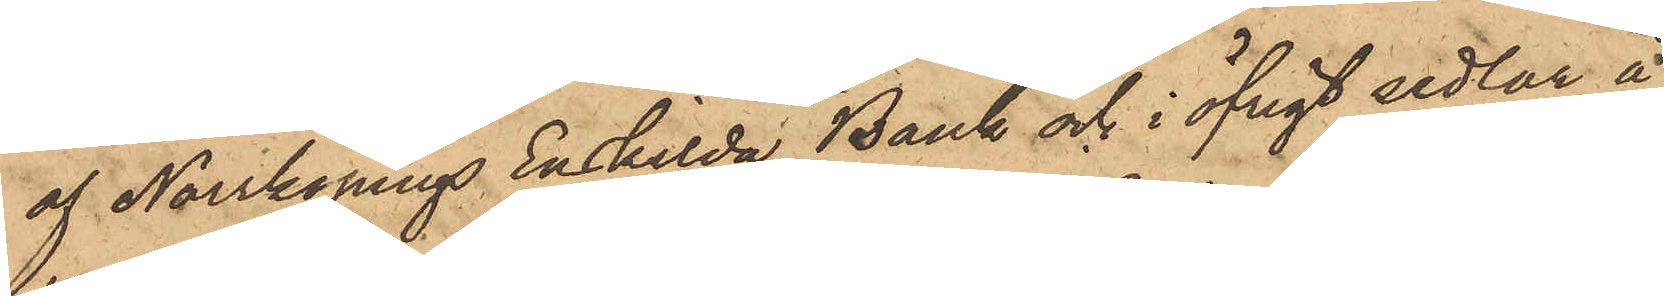af Norrköpings Enskilda Bank och i öfrigt sedlar å
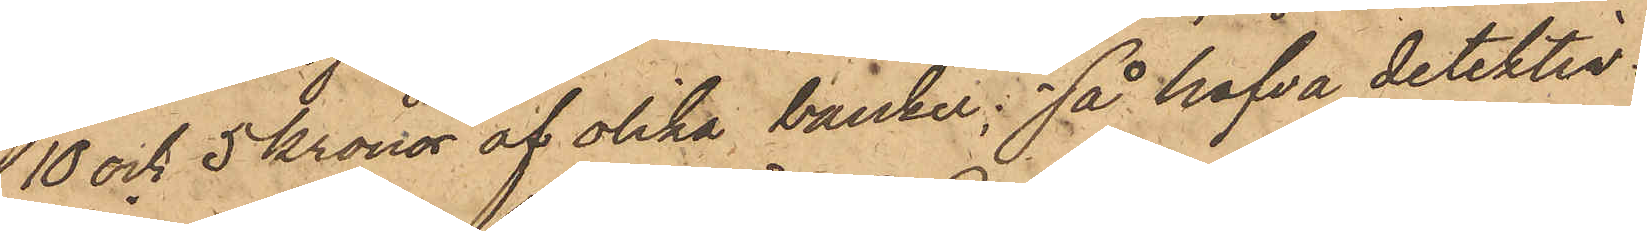10 och 5 Kronor af olika banker; så hafva detektiv¬
